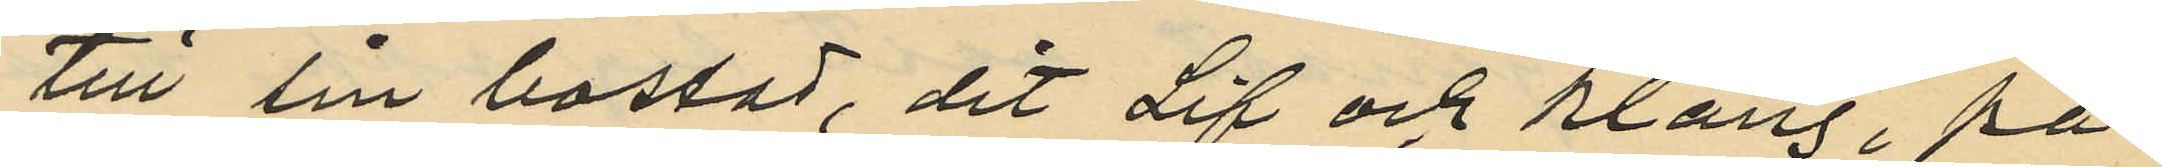till sin bostad, dit Lif och Klang, på
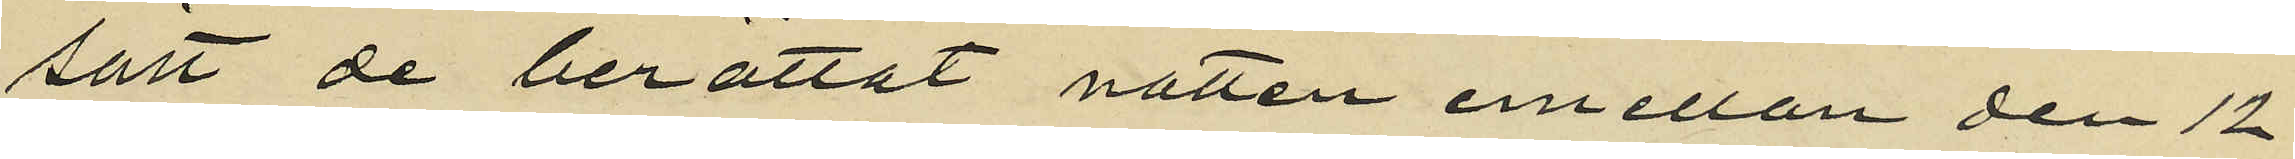sätt de berättat natten emellan den 12
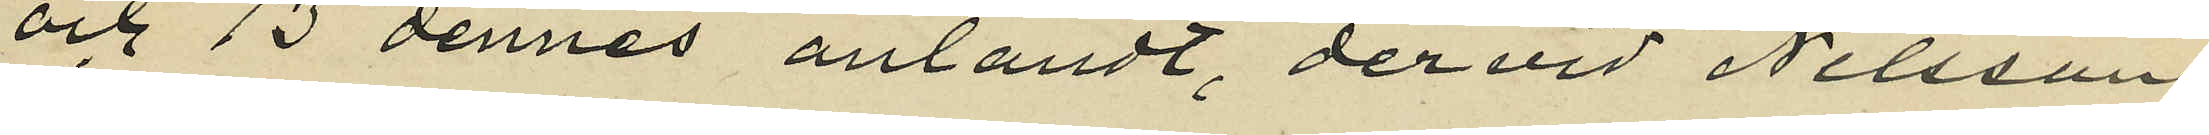och 13 dennes anländt, dervid Nilsson
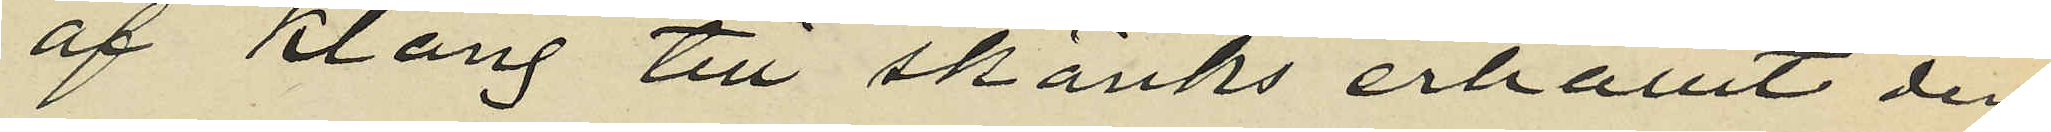af Klang till skänks erhållit den
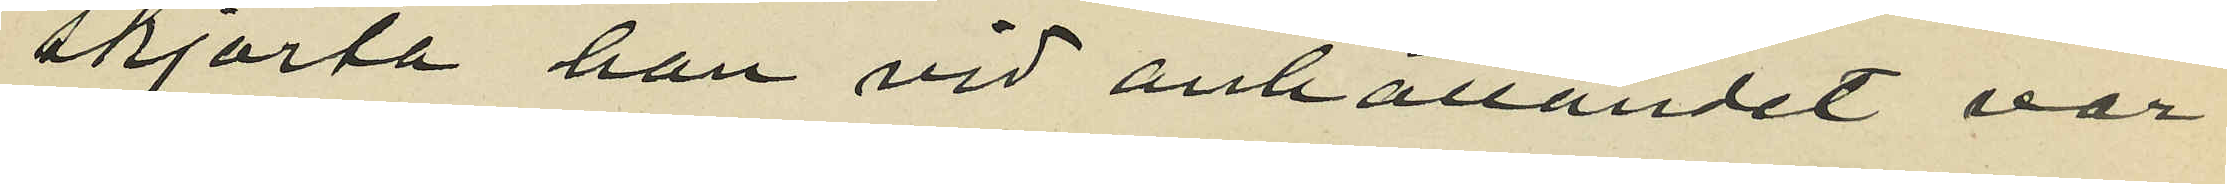skjorta han vid anhållandet var
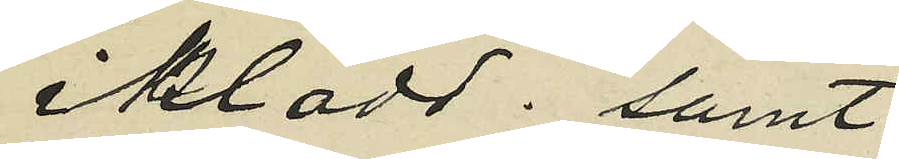iklädd; samt
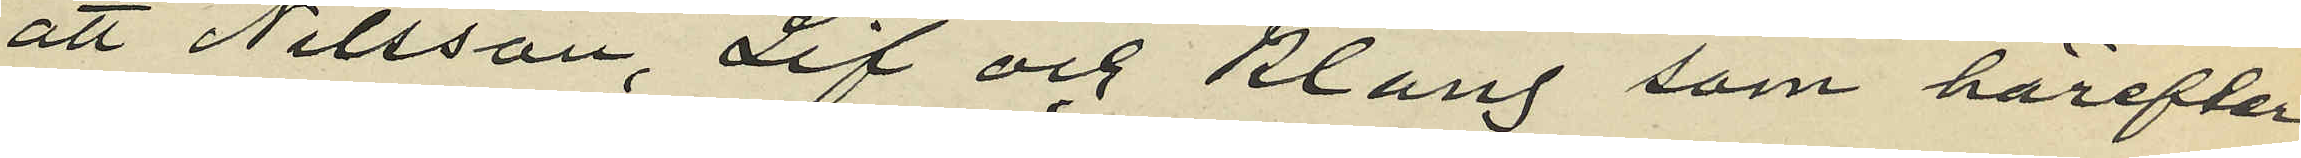att Nilsson, Lif och Klang som härefter
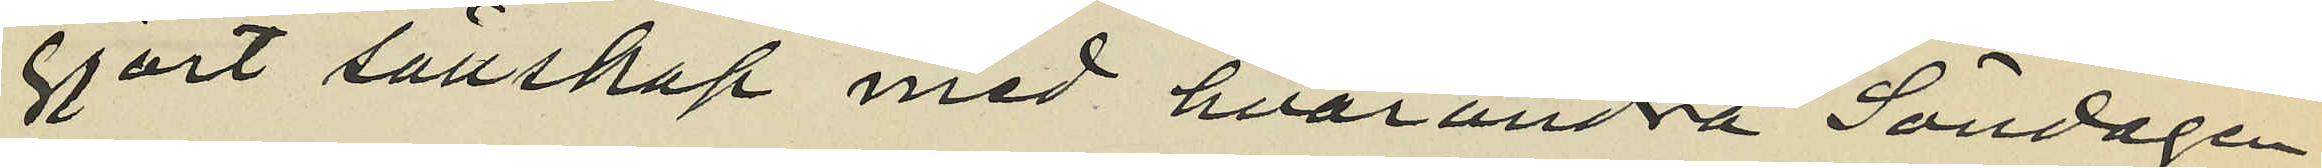gjort sällskap med hvarandra Söndagen
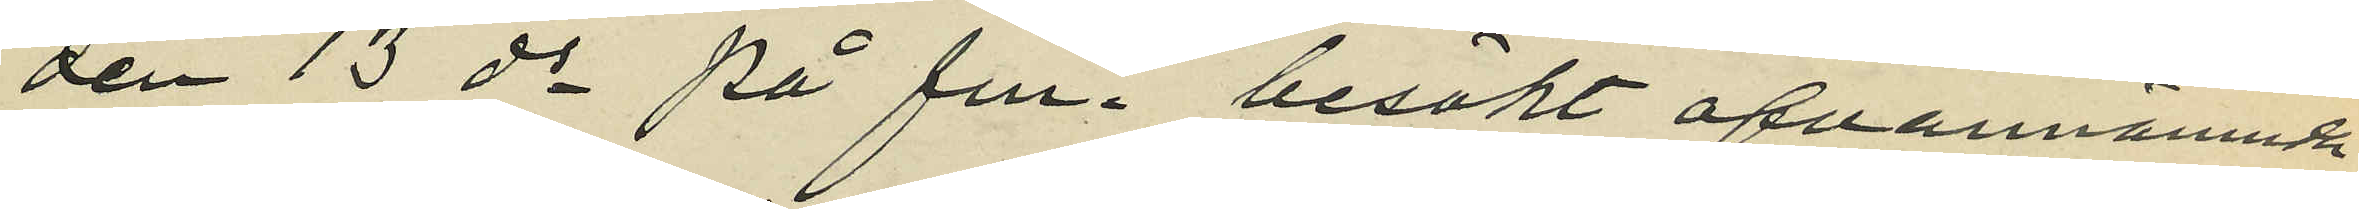den 13 ds på fm. besökt ofvannämnd
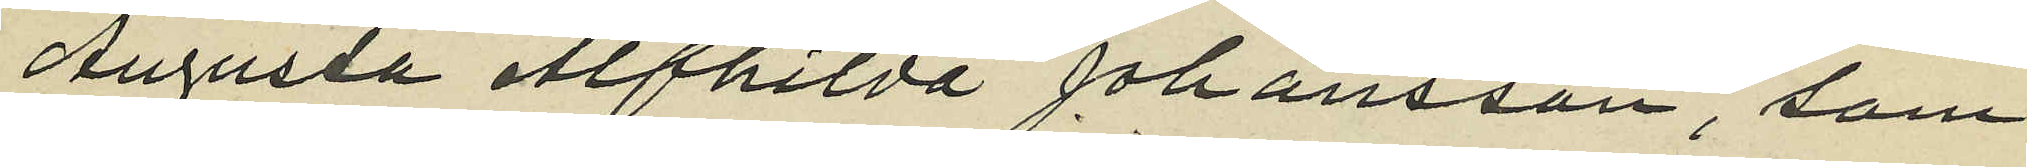Augusta Alfhilda Johansson, som
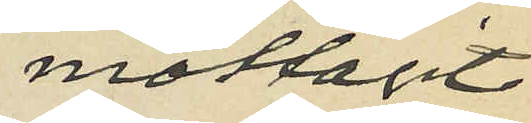mottagit
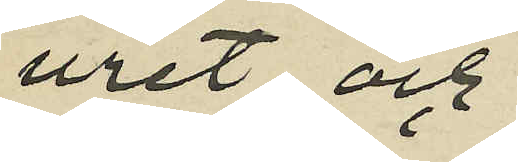uret och
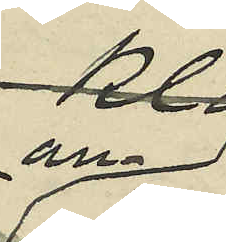an-
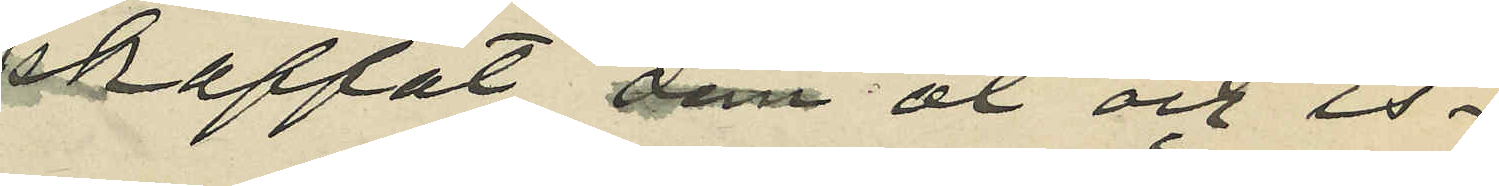skaffat öl och is¬
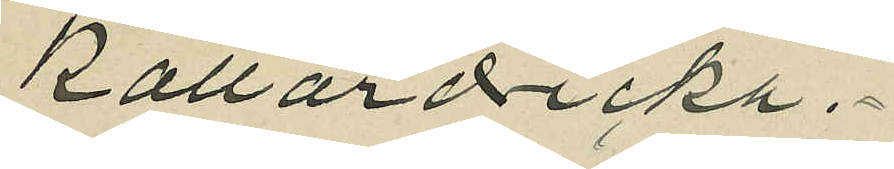källardricka.
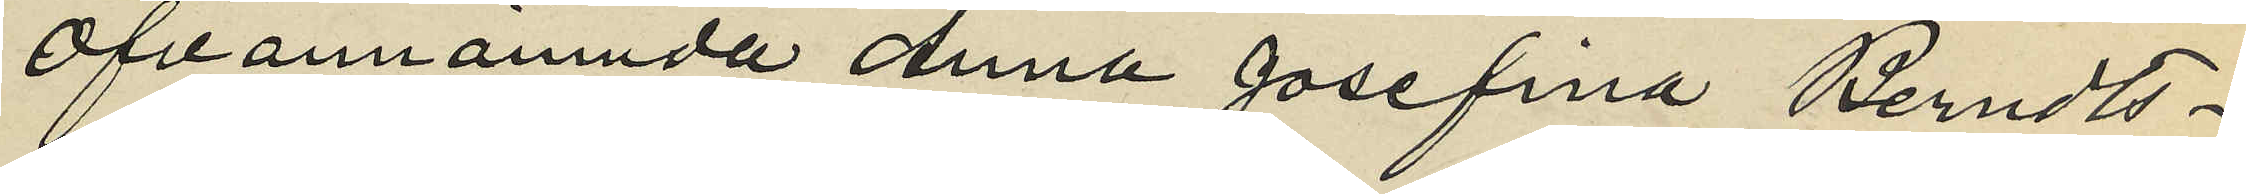Ofvannämnda Anna Josefina Berndts¬
